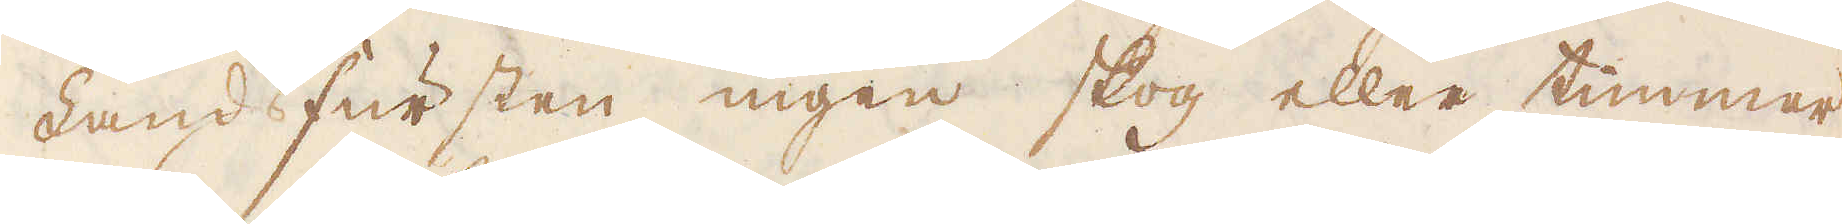Landfursten ingen skog eller timmer
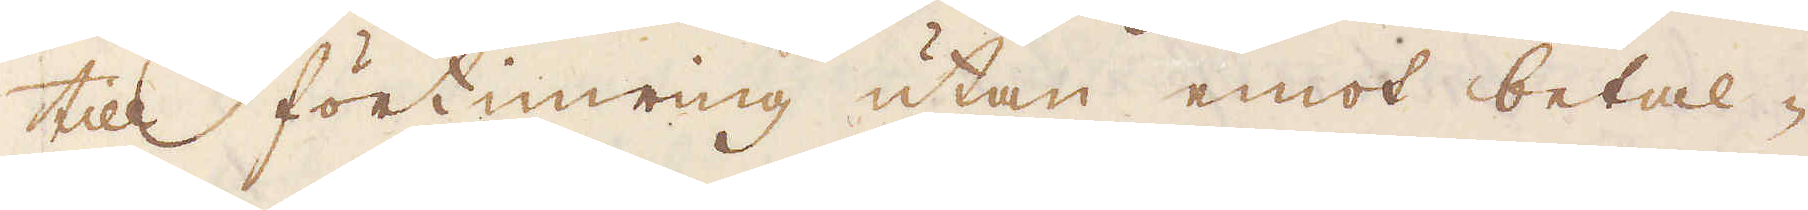till förtimring utan emot betal-
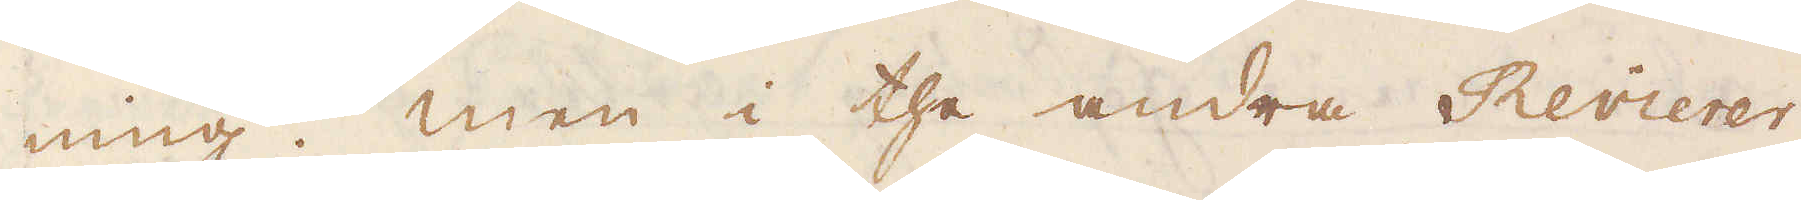ning. Men i the andra Revierer
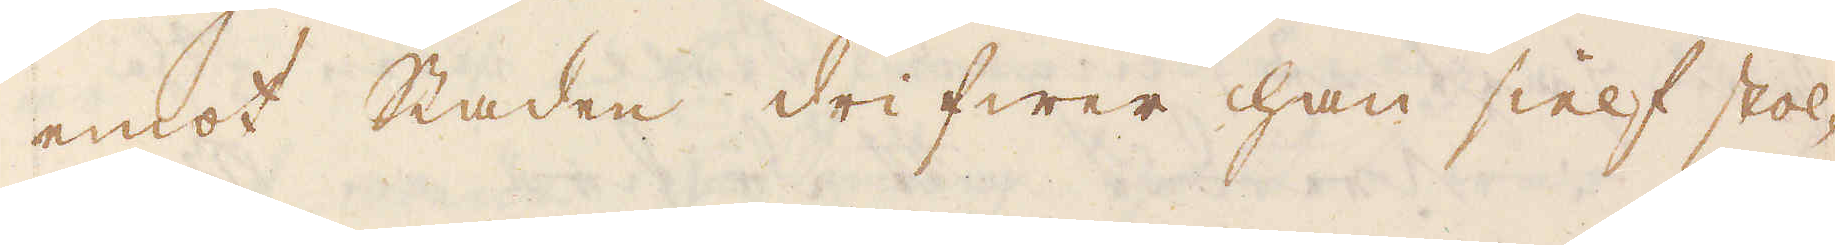emot staden drifwer han sielf stol-
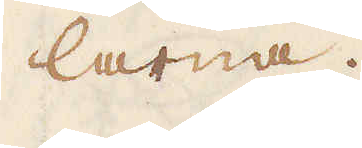larna.
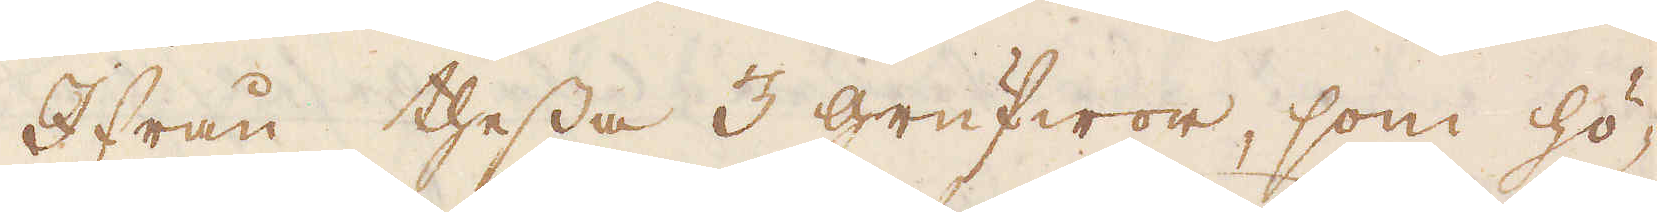Ifrån thessa 3 grufwor, som hö-
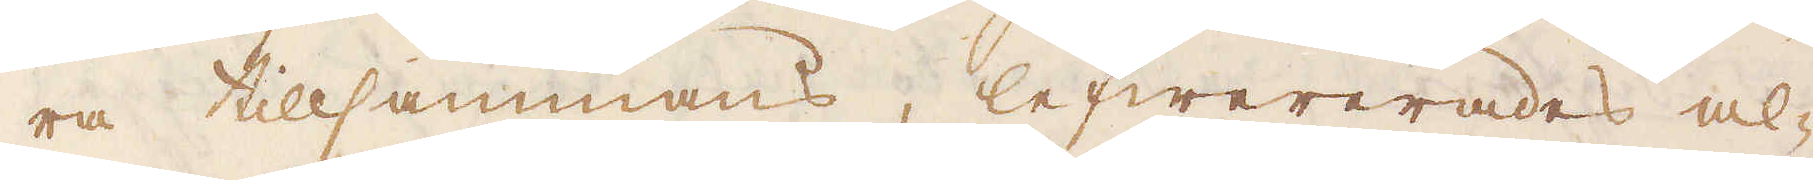ra tillsammans, lefwererades al-
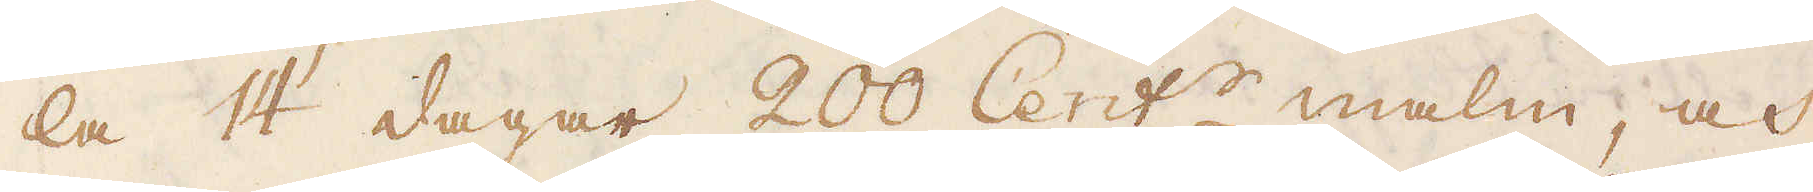la 14 dagar 200 Cent:r malm, och
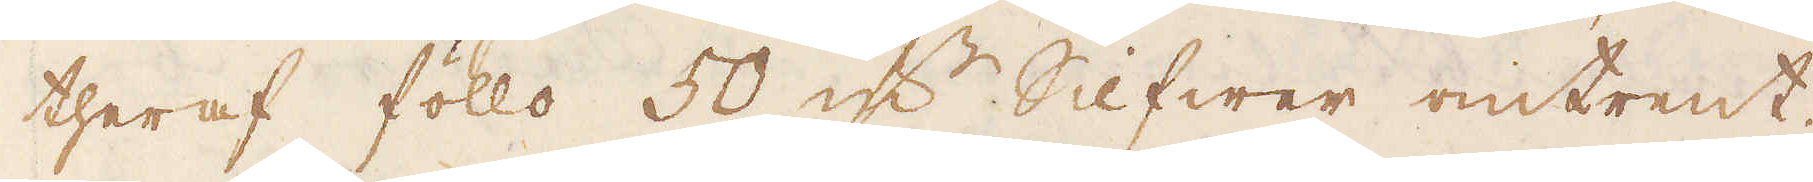theraf föllo 50 qv:r Silfwer omtrent.
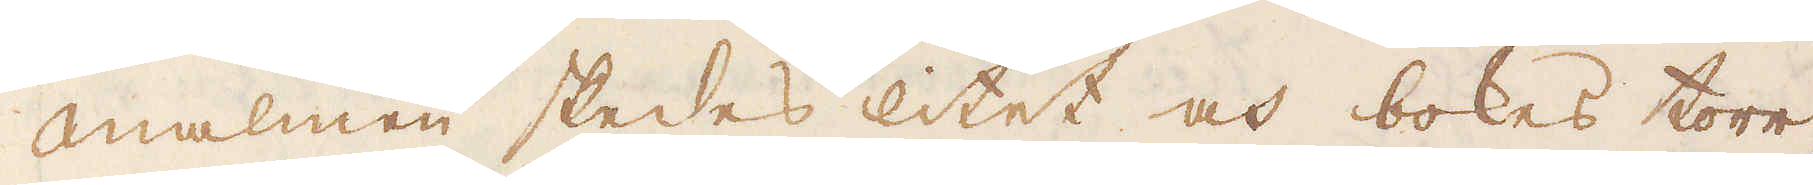Malmen skedes litet och bokes torr,
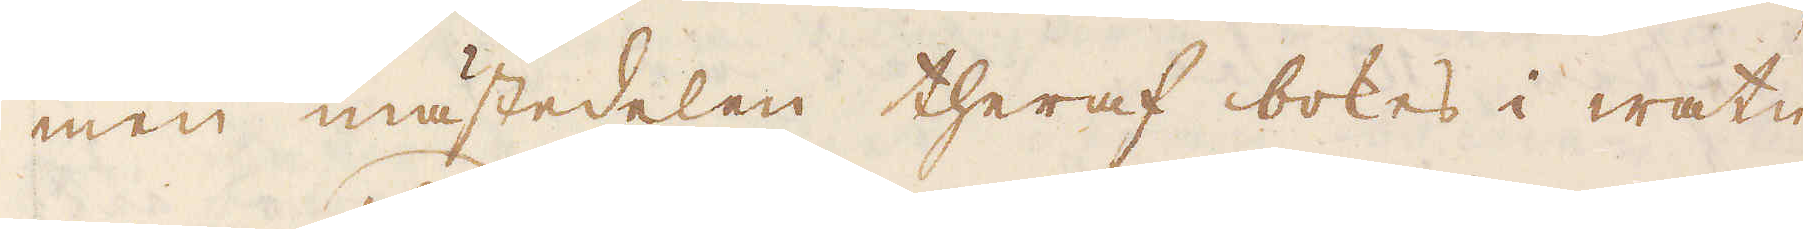men mästedelen theraf bokes i watn
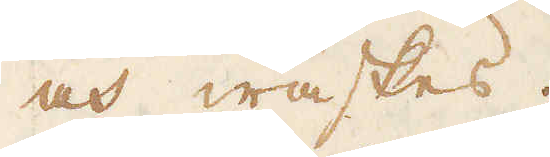och waskes.
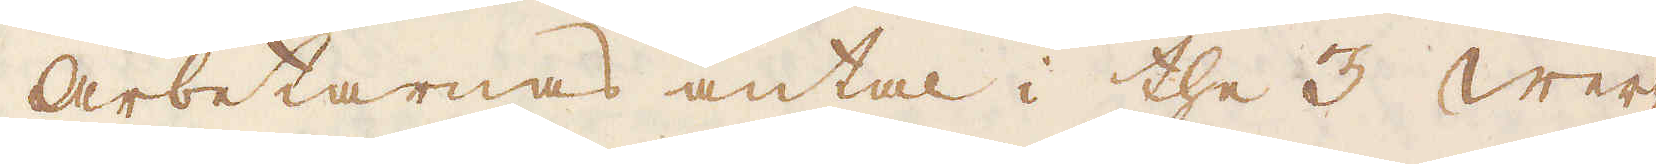Arbetarnas antal i the 3 Wer-
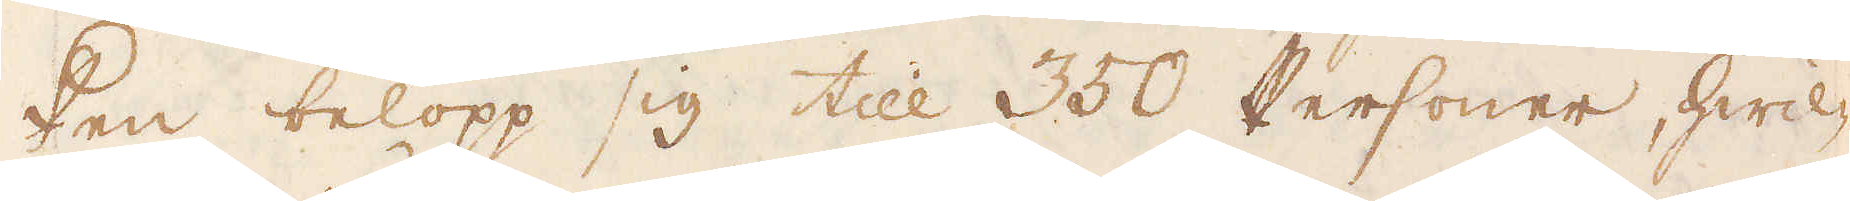ken belopp sig till 350 Personer, hwil-
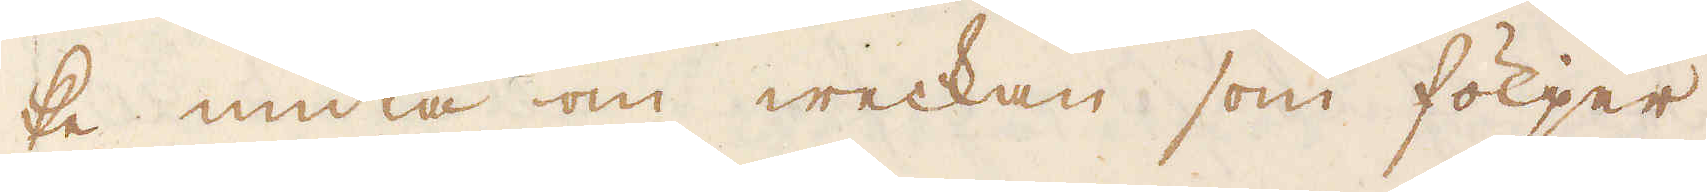ke nuta om weckan som följer
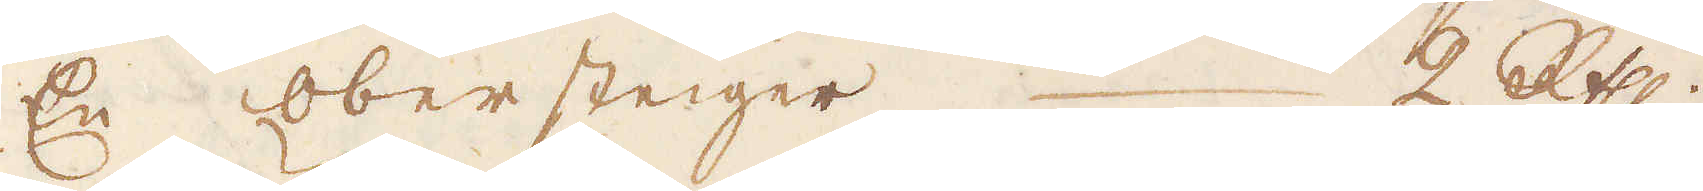En obersteiger 2 R:th.
